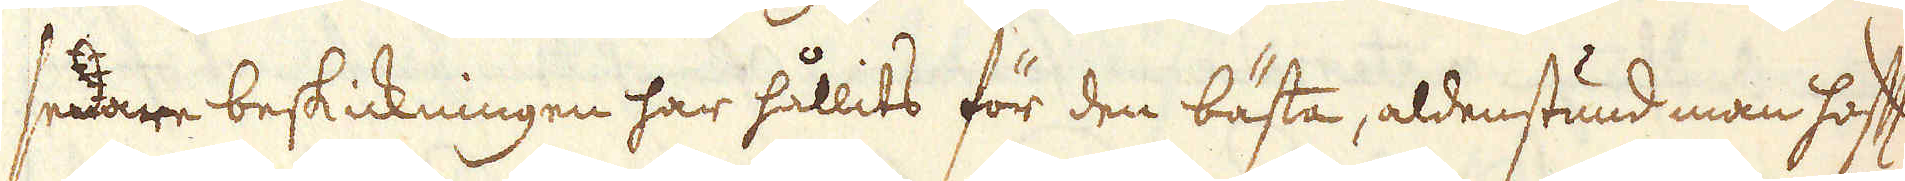sednare beskickningen har hållits för den bästa, aldenstund man haft
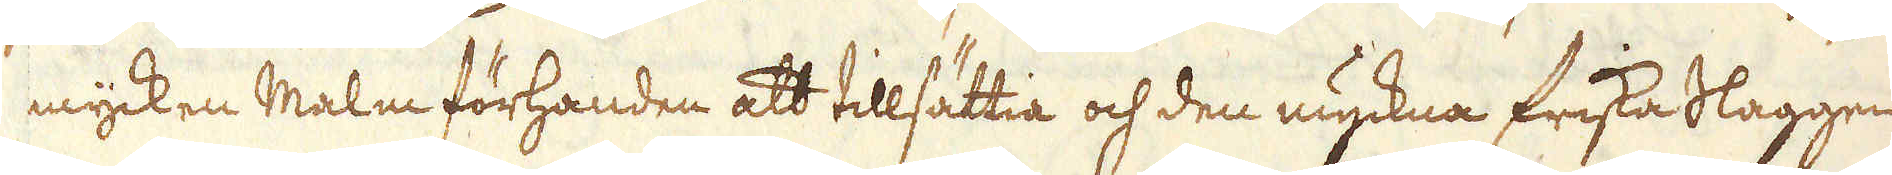mycken Malm förhanden att tillsättia och den myckna friska Slaggen
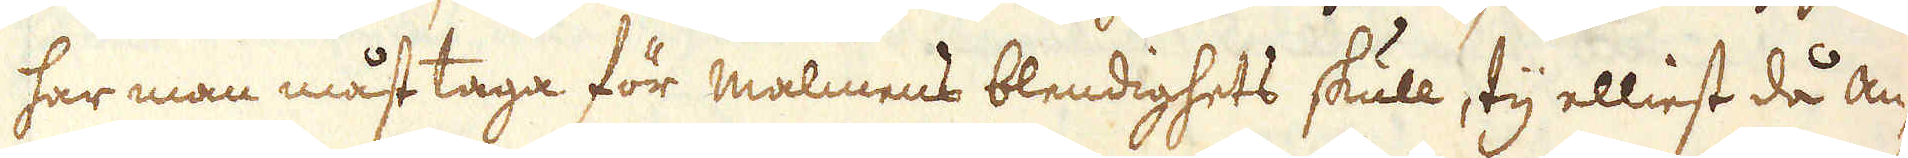har man måst taga för malmens blendighets skull, ty elliest då an-
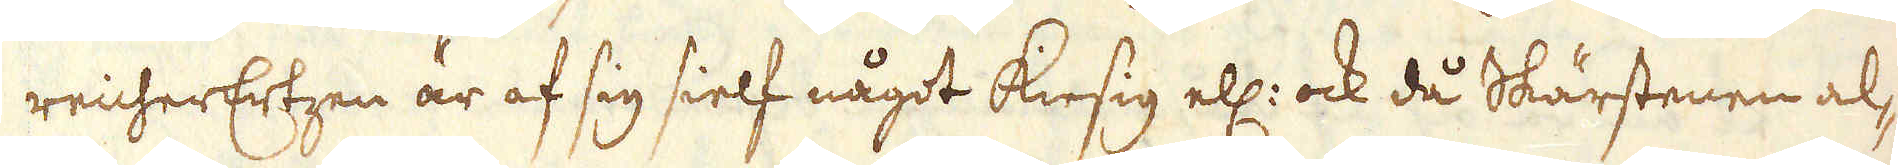reicherErtzen är af sig sielf något kiesig ell: ock då Skärstenen al-
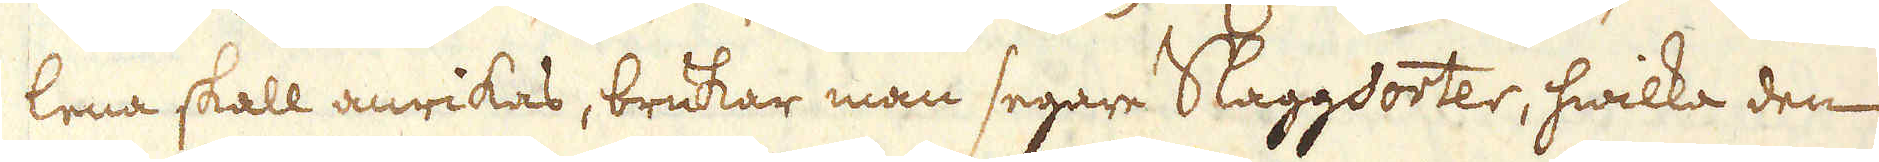lena skall anrikas, brukar man segare Slaggsorter, hwilka den
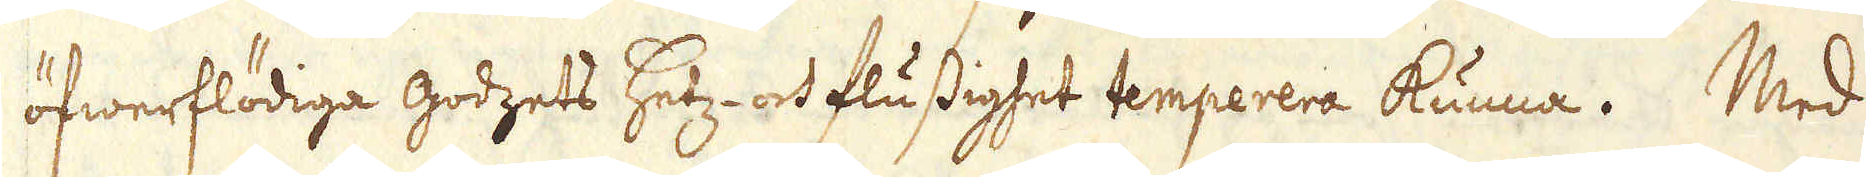öfwerflödiga godzets hetz- och flussighet temperera kunna. Med
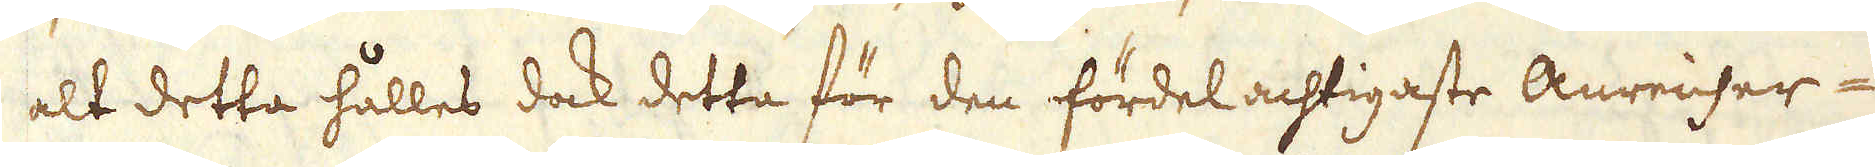alt detta hålles dock detta för den fördelachtigaste Anreicher-
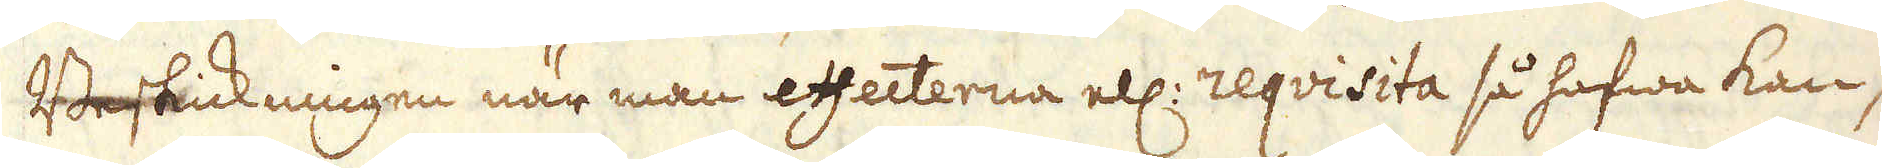Beskickningen när man effecterna ell: reqvisita så hafwa kan,
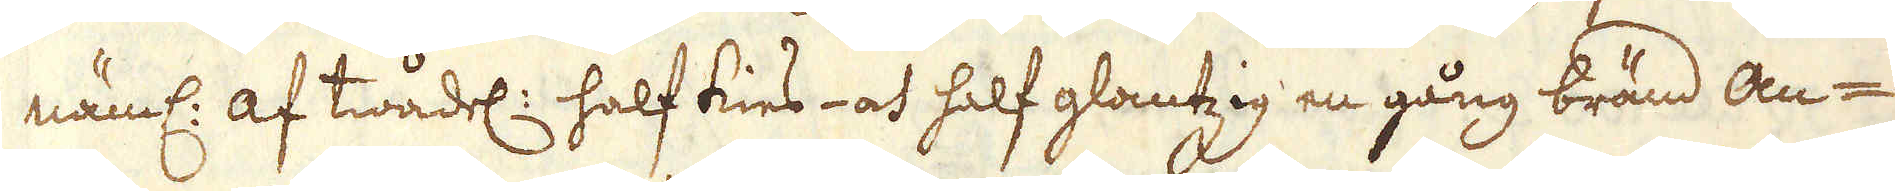näml: af twådel: half kies- och half glantzig en gång bränd an-
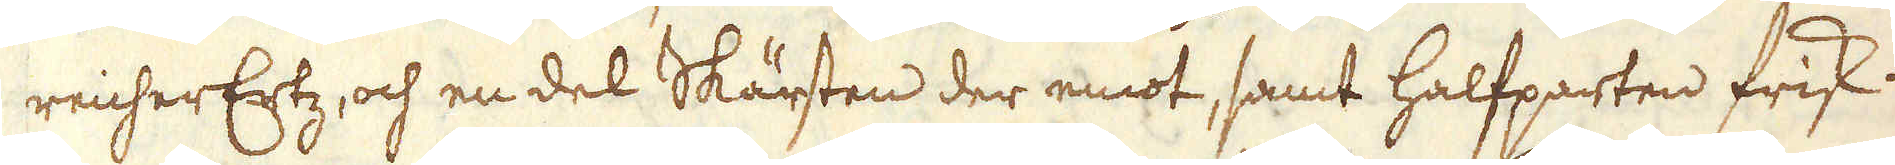reicherErtz, och en del Skärsten der emot, samt halfparten frisk-
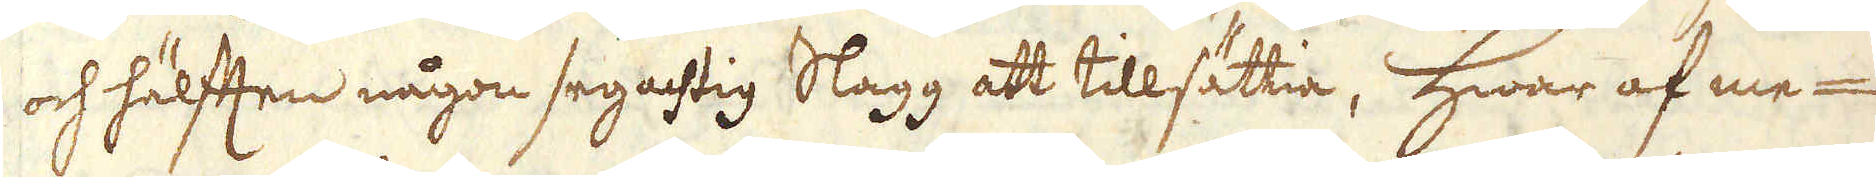och hälften någon segachtig Slagg att tillsättia, hwar af me-
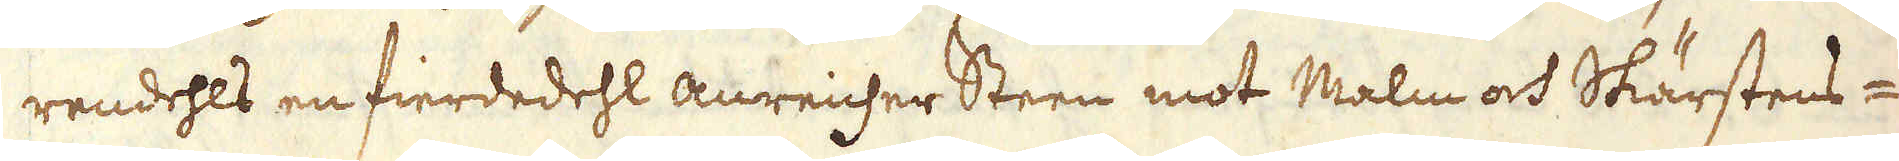rendehls en fierdedehl anreicher Steen mot Malm och Skärstens-
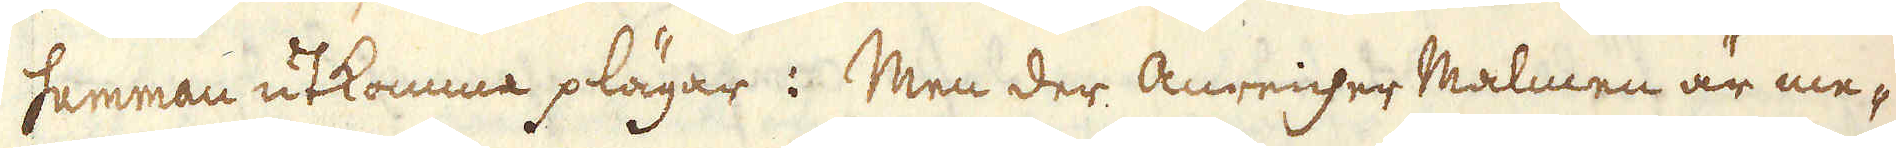samman utkomma plägar: Men der Anreicher Malmen är me-
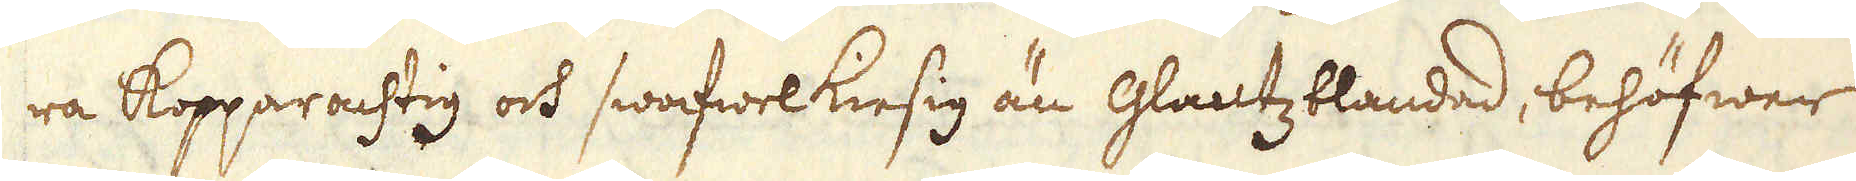ra Kopparachtig och swafwelkiesig än Glantzblandad, behöfwer
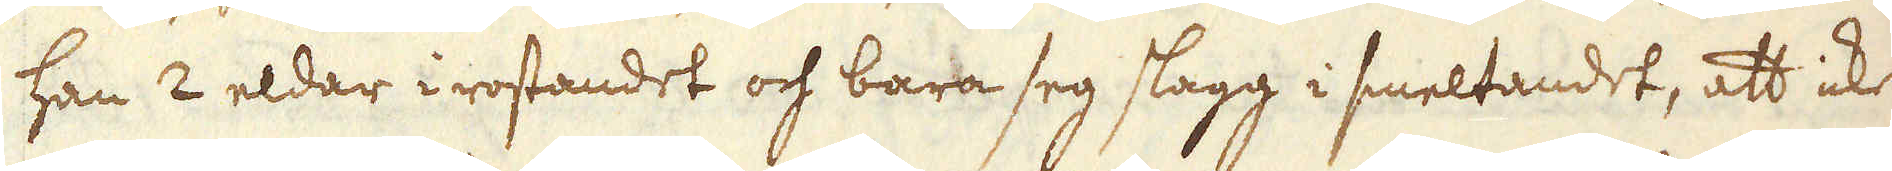han 2 eldar i rostandet och bara seg slagg i smeltandet, att icke
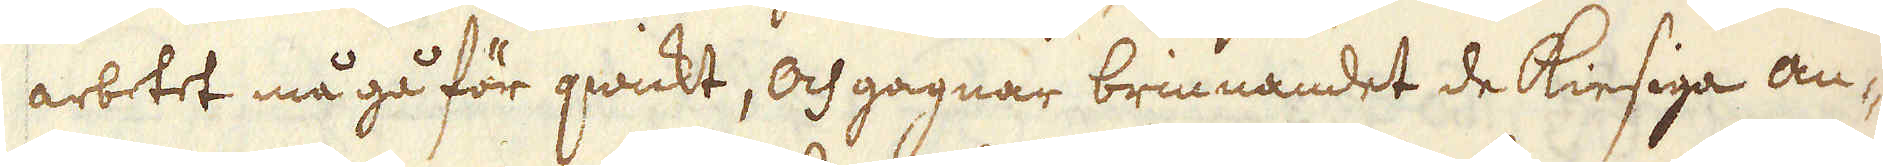arbetet må gå för qwickt, och gagnar brinnandet de kiesiga an-
